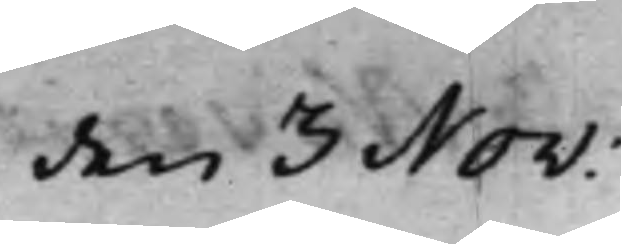den 3 Nov:
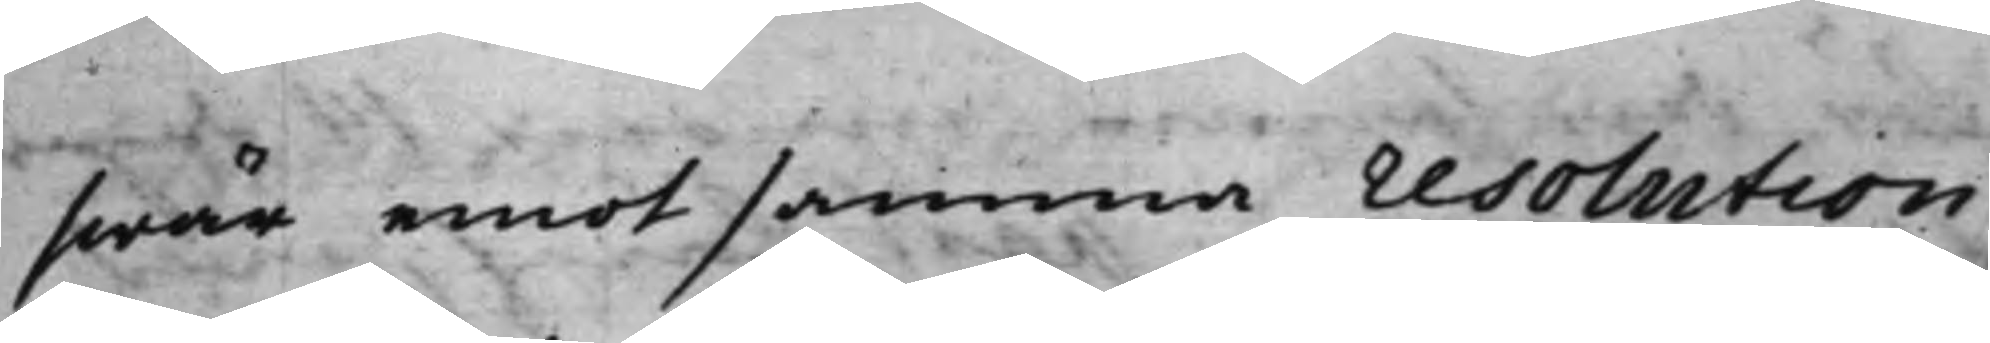swär emot samma resolution,
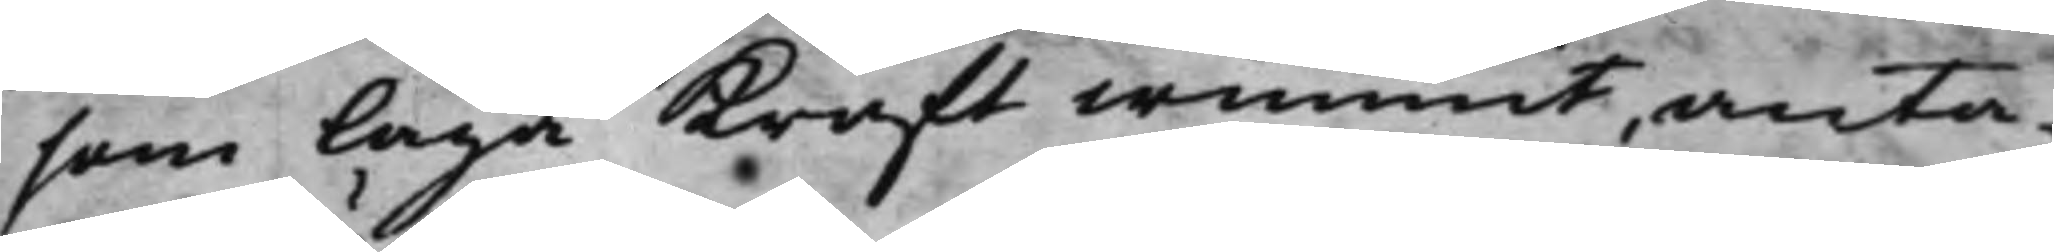som Laga Kraft wunnit, anta¬
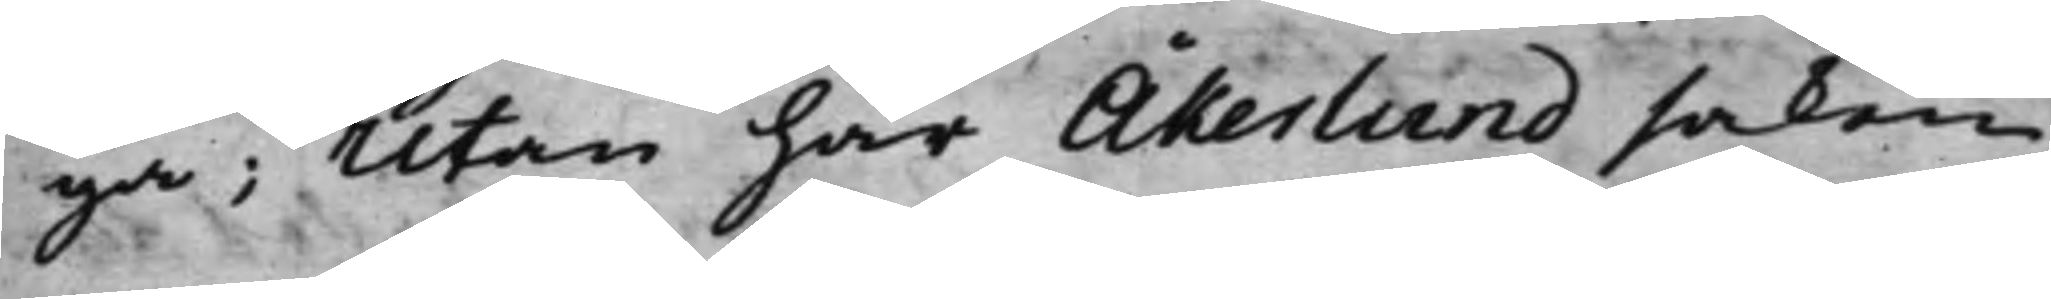ga; Utan har Åkerlund saken
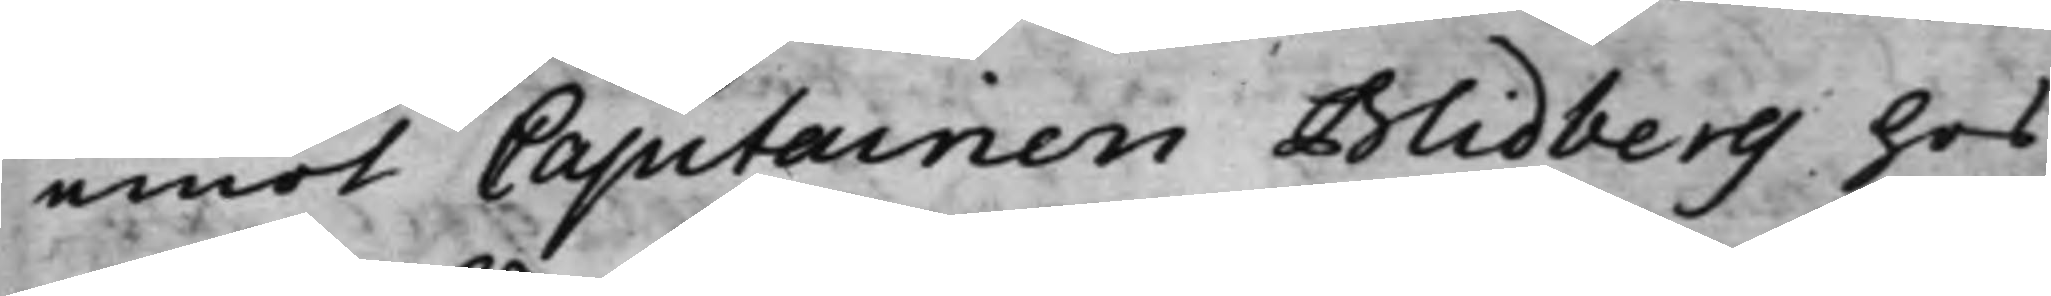emot Capitainen Blidberg hos
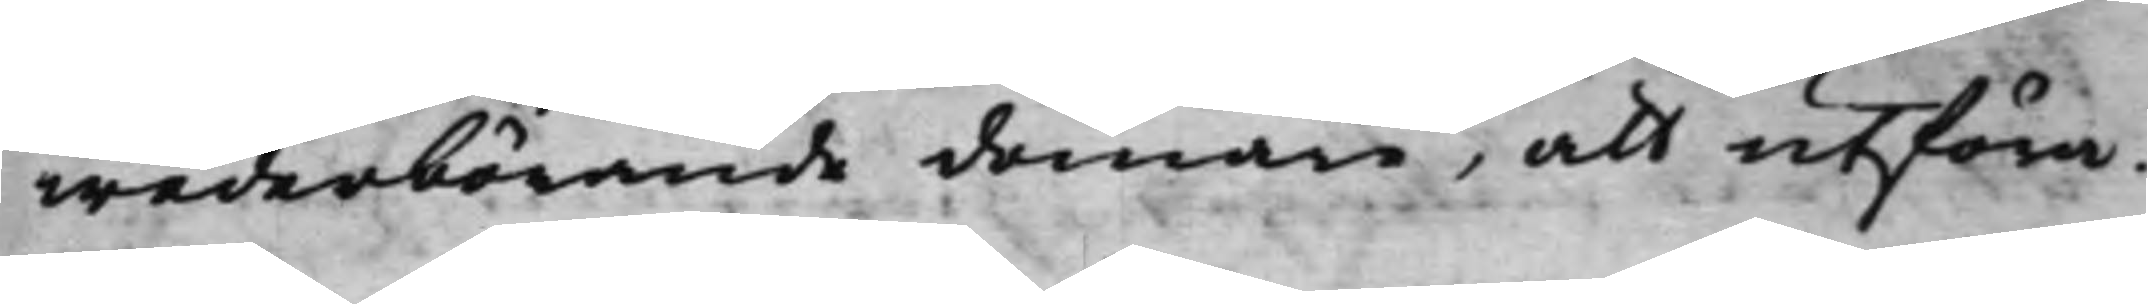wederbörande domare, att utföra.
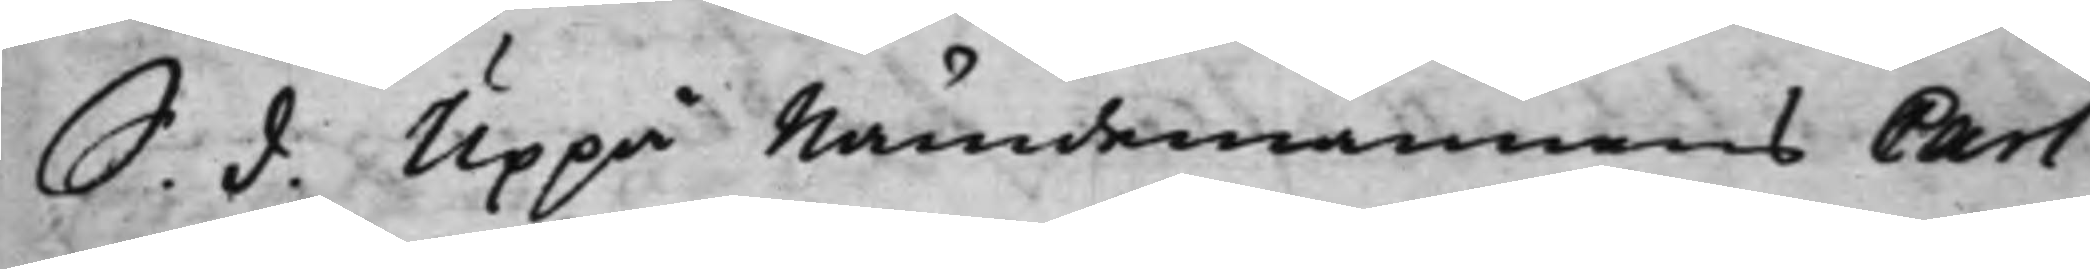S. d. Uppå Nämndemannens Carl
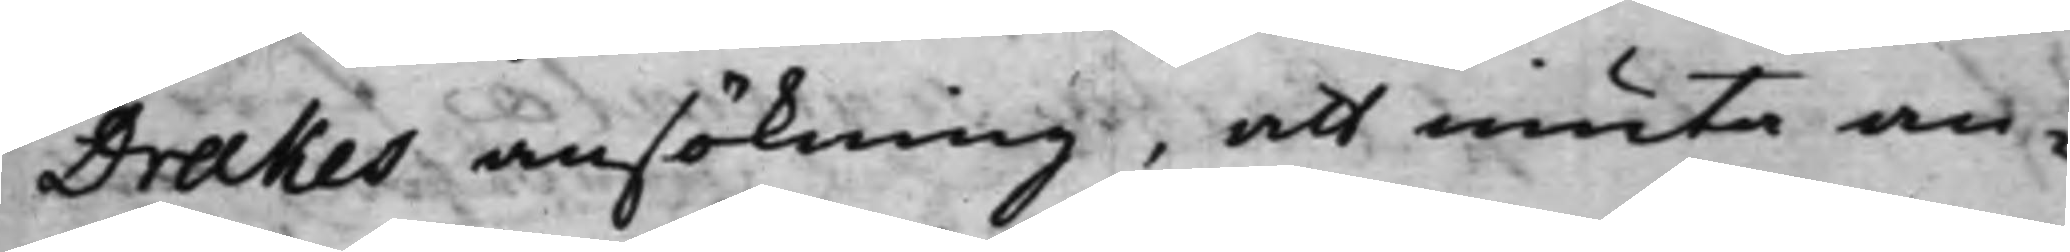Drakes ansökning, att niuta an¬
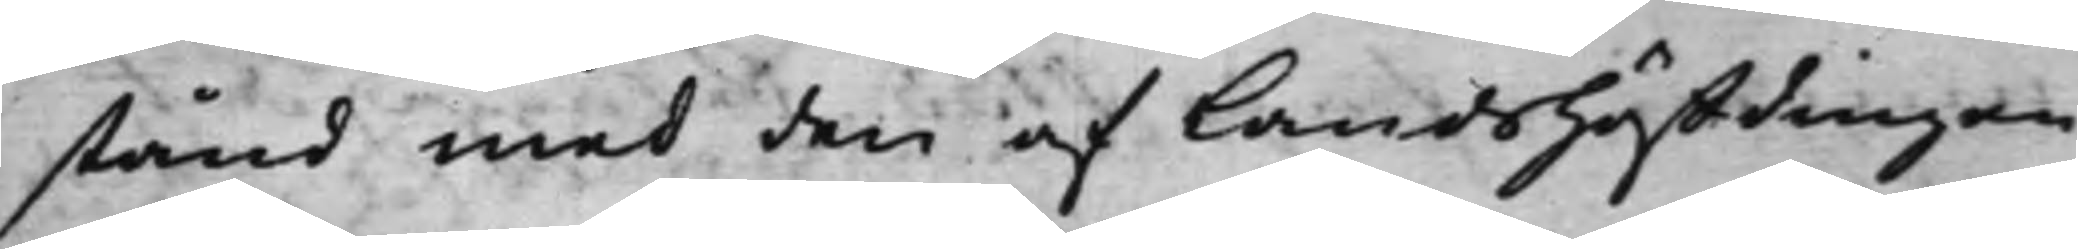stånd med den af Landshöffdingen
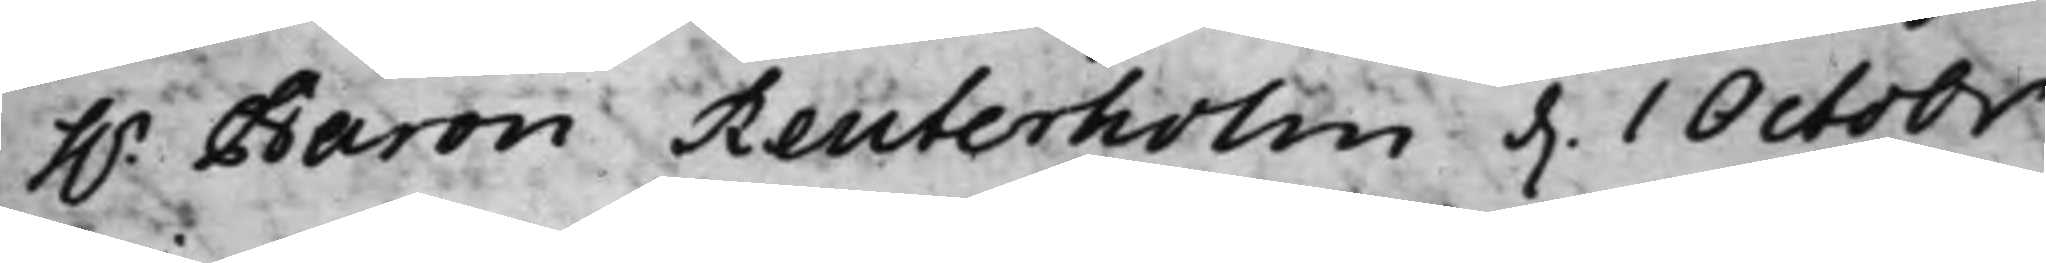h.r Baron Reuterholm d. 1 Octobr
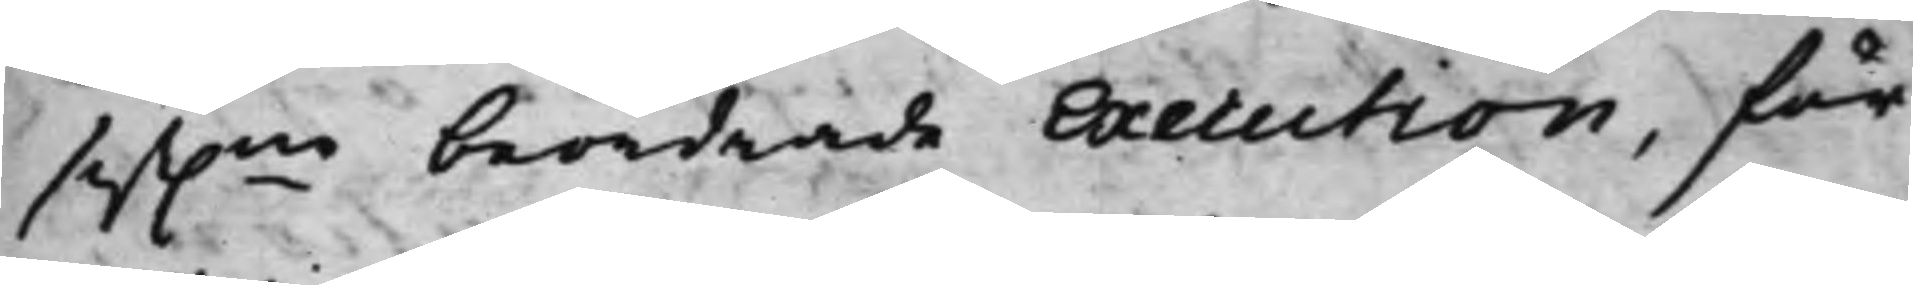sist.ne beordrade Execution, för
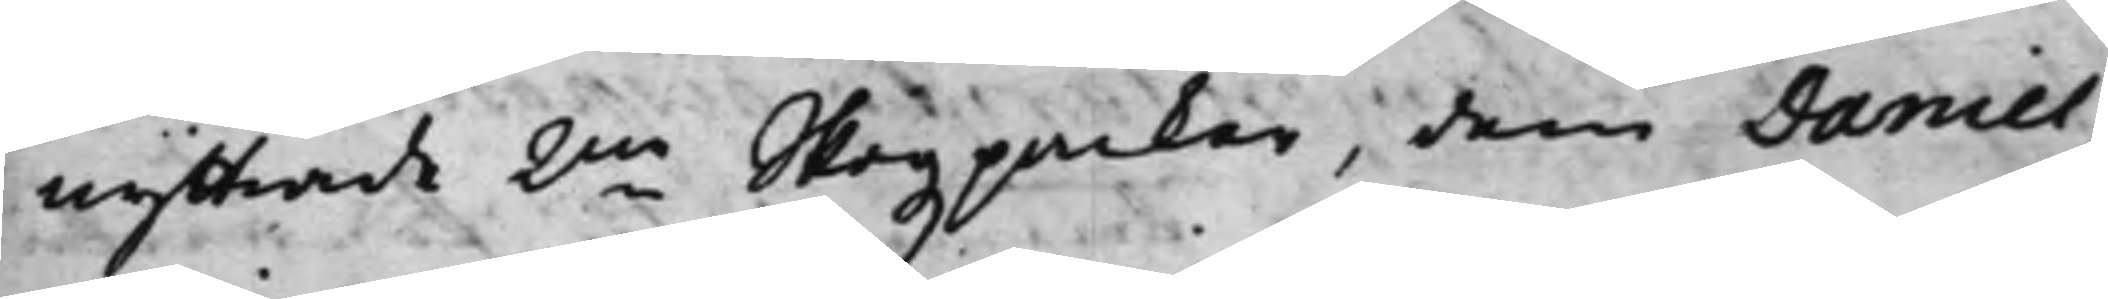nyttiade 2ne Skogzparker, dem Daniel
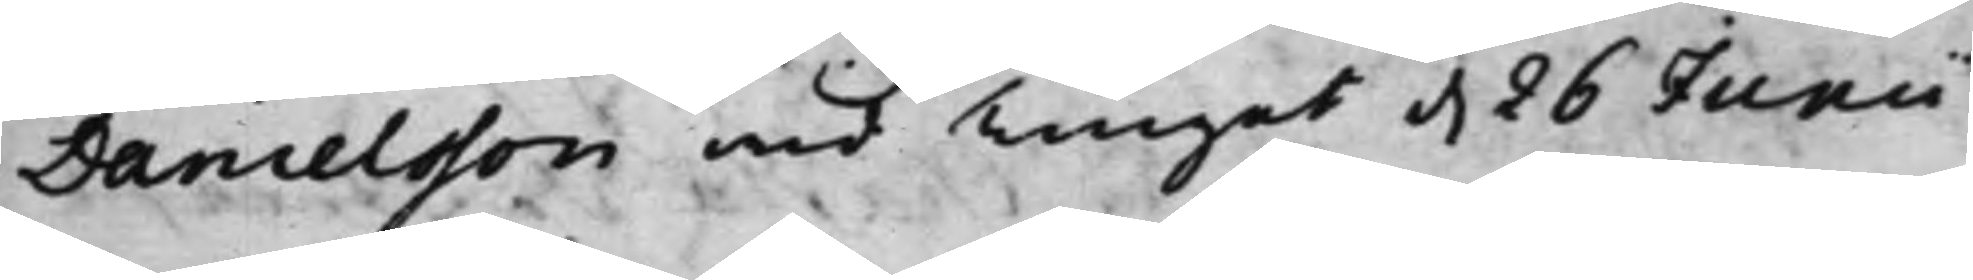Danielsson wid Tinget d. 26 Junii
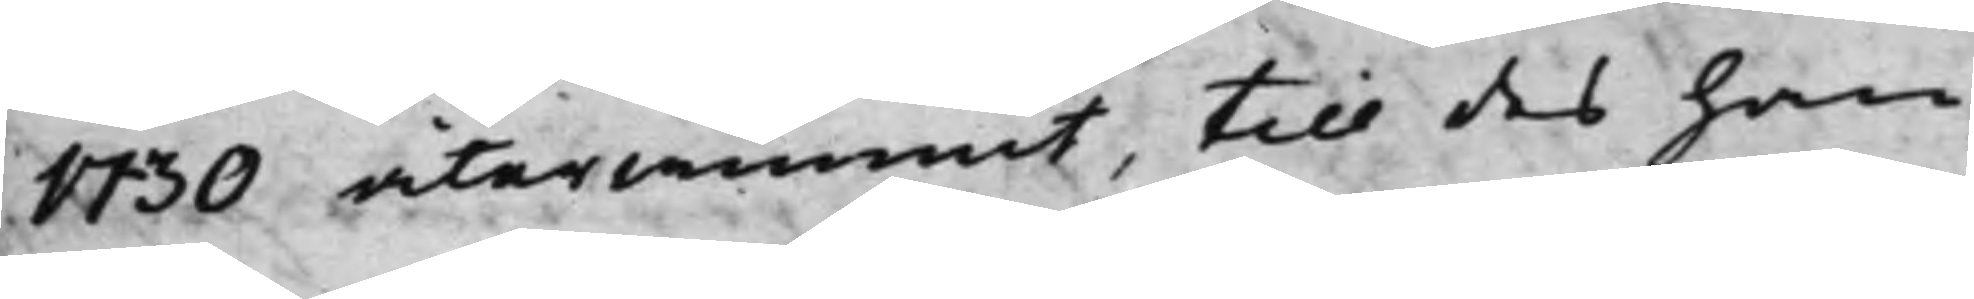1730 återwunnit, till des han
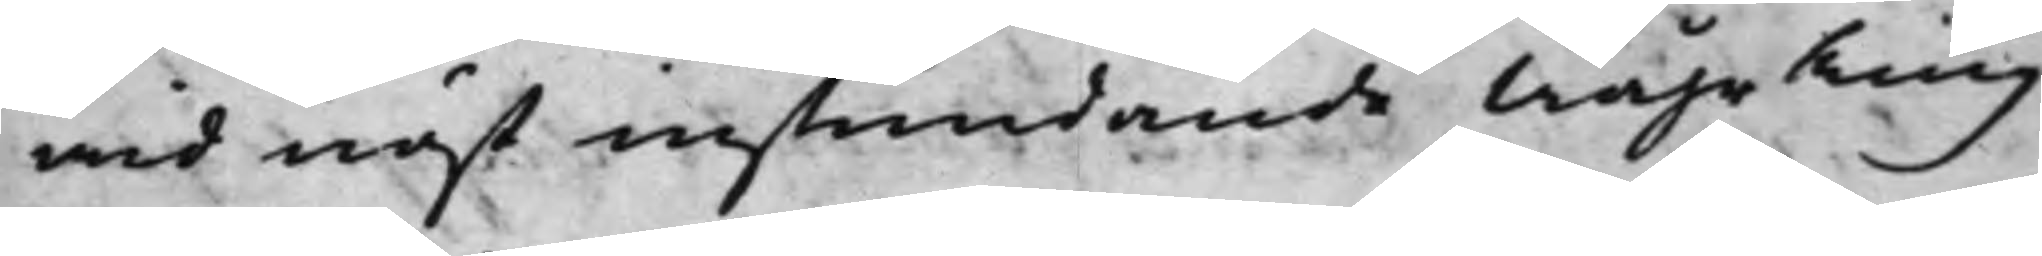wid näst instundande Wåhr Ting
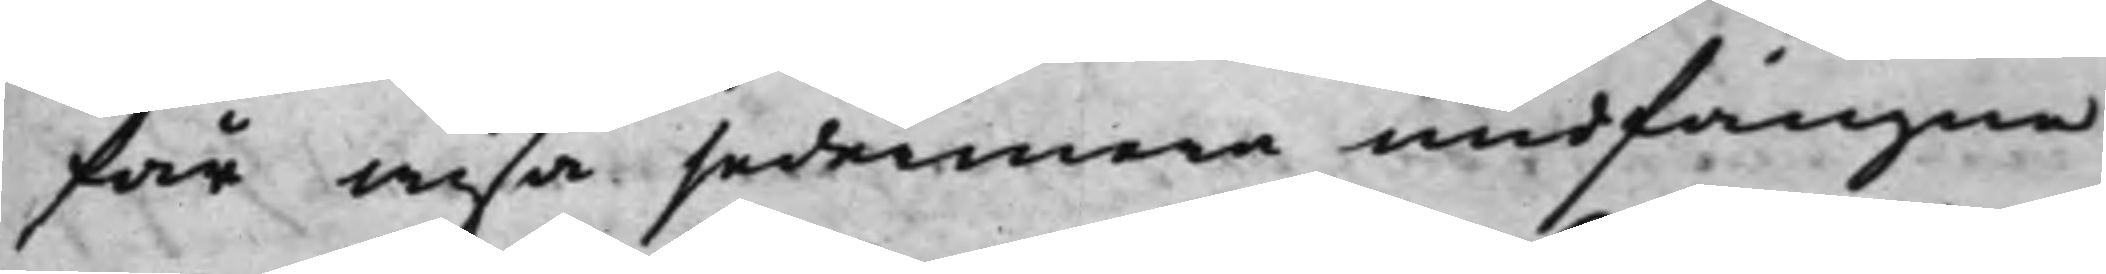får wisa sedermera undfångne
